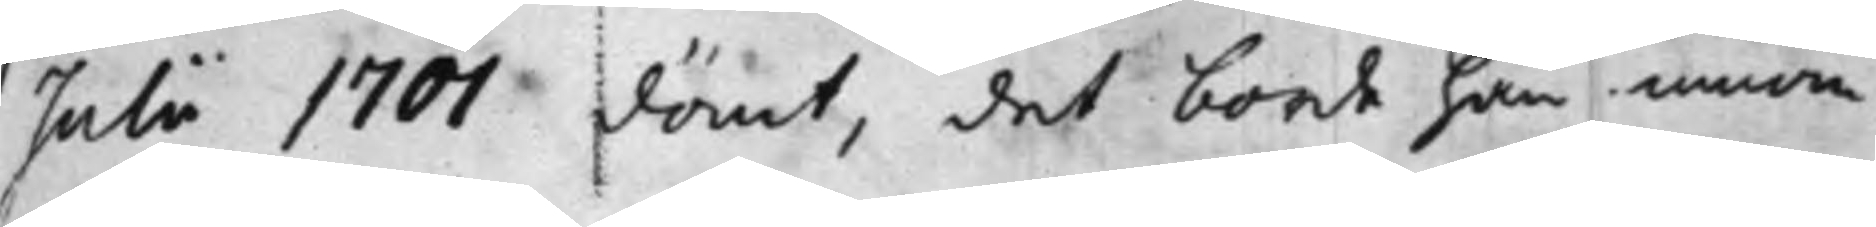Julii 1701 dömt, det borde han innom
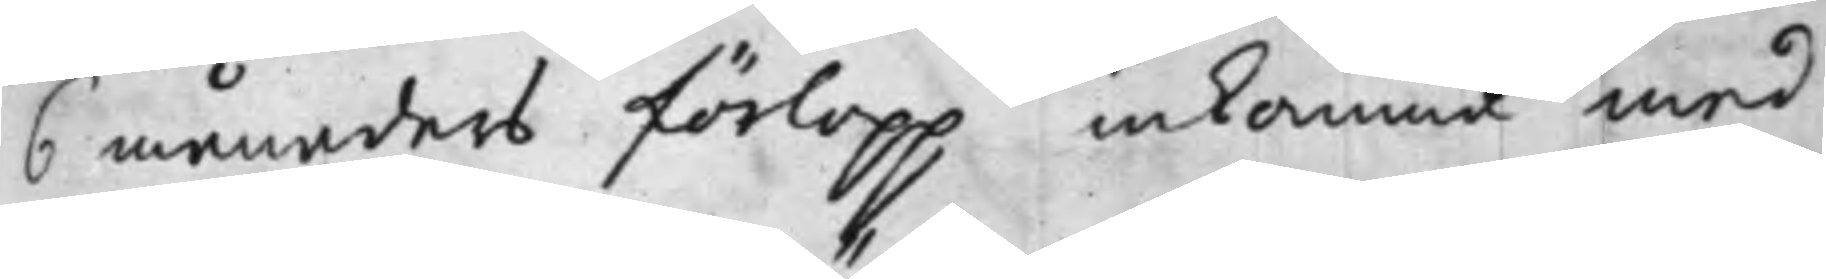6 månaders förlopp inkomma med
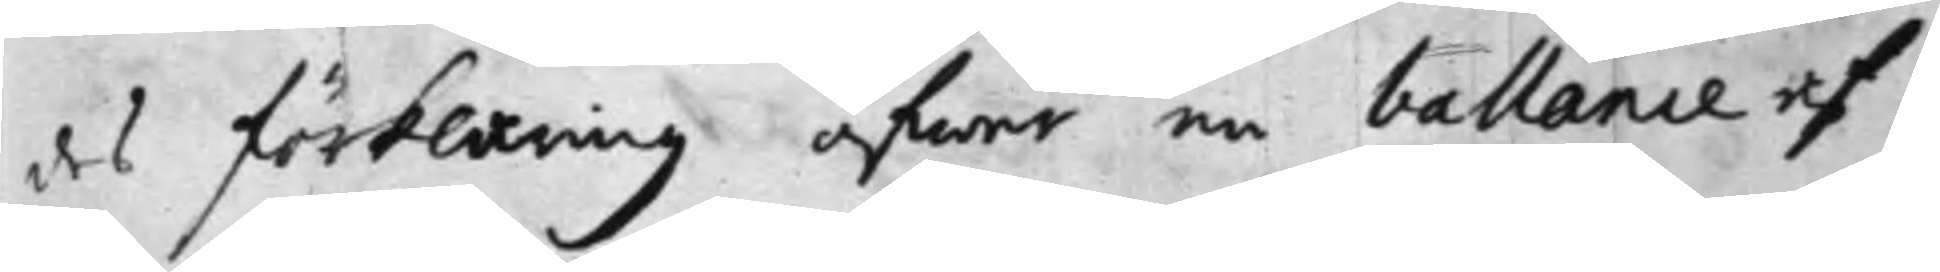des förklaring öfwer en ballance af
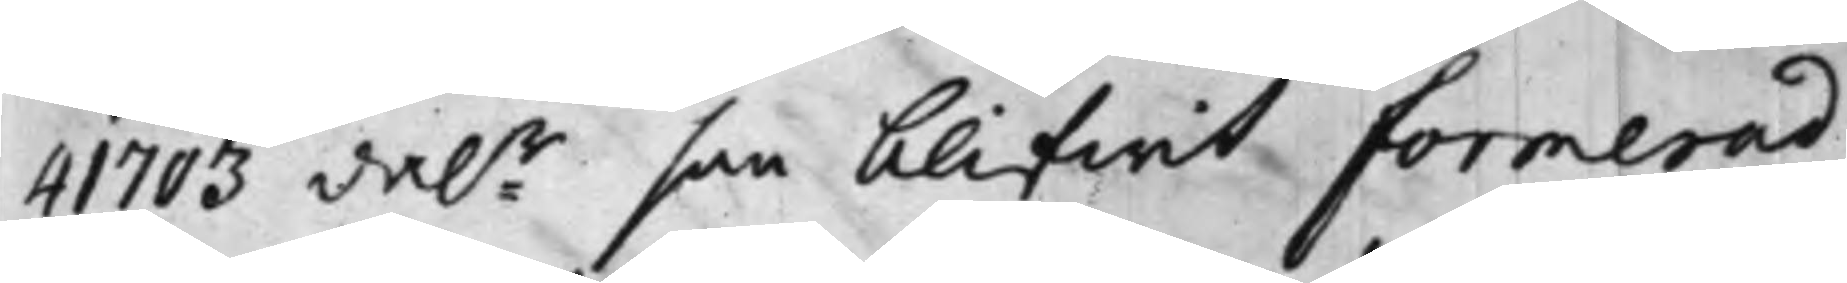41703 dal:r han blifwit formerad
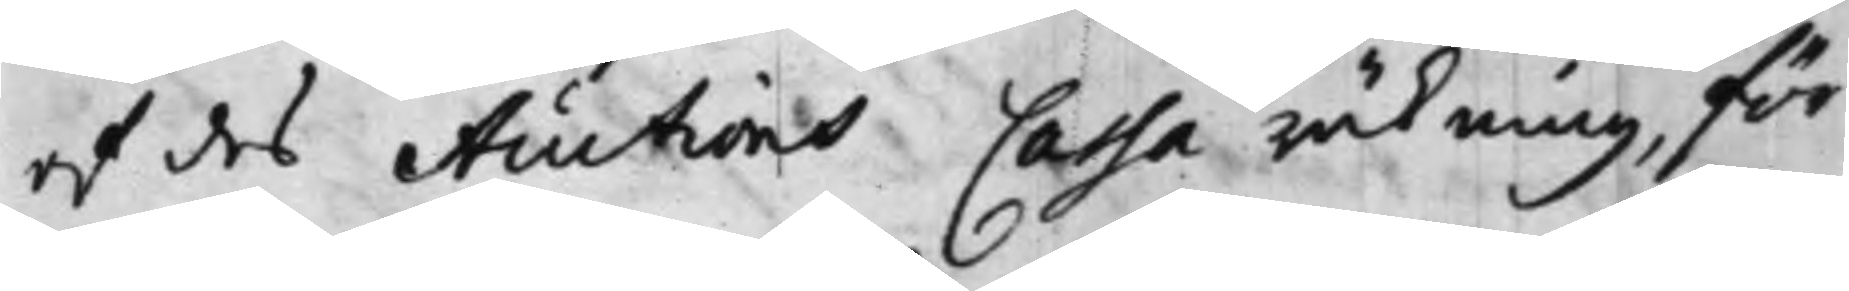af des Auctions Cassa räkning, för
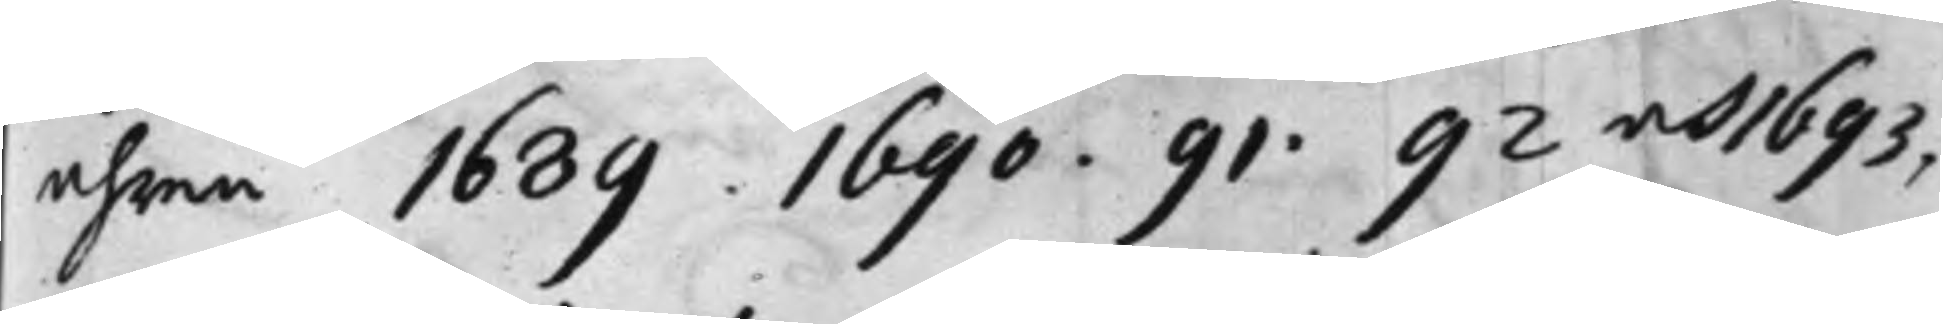åhren 1689. 1690. 91. 92 och 1693,
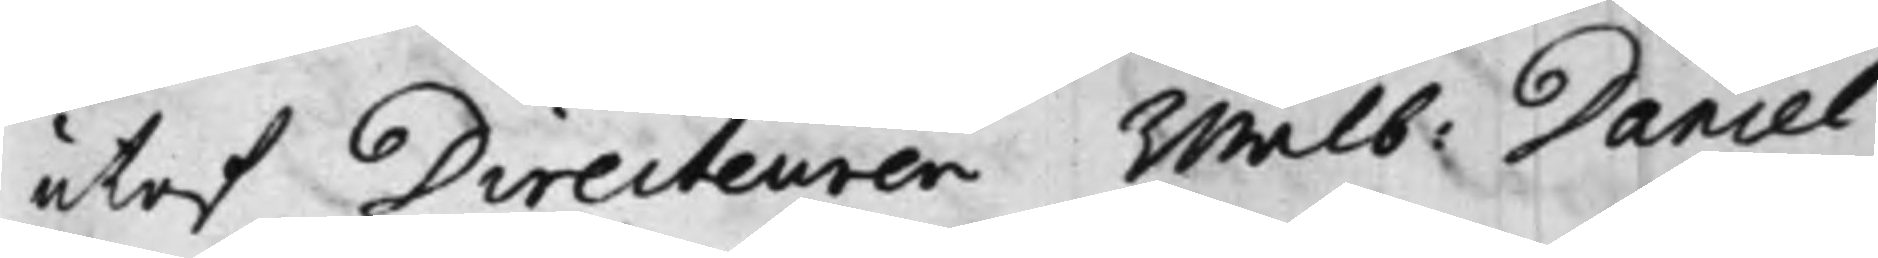utaf Directeuren Wälb: Daniel
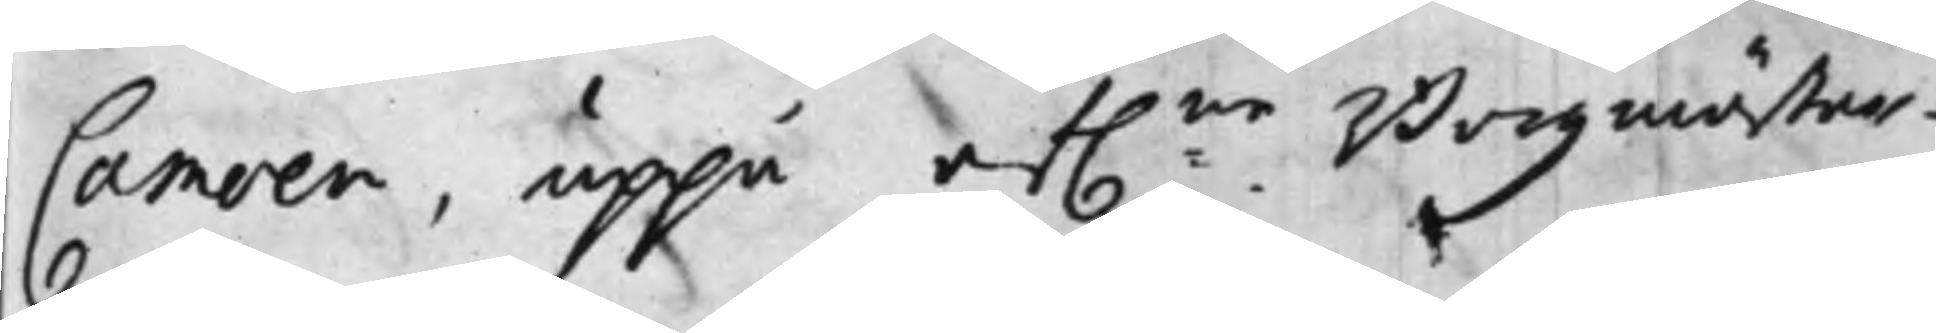Camoen, uppå af:ne Borgmästar¬
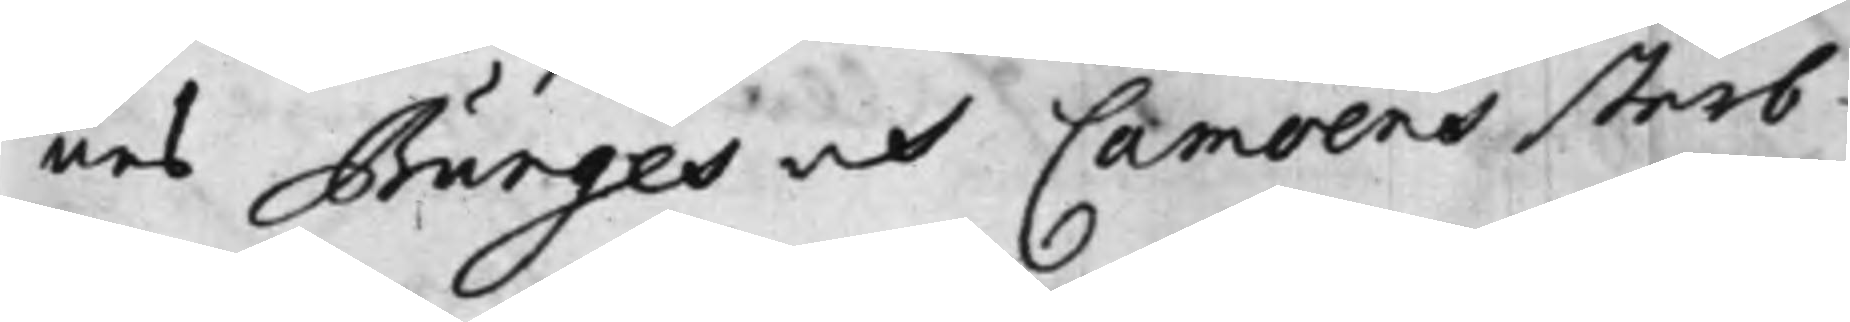nes Bunges och Camoens sterb¬
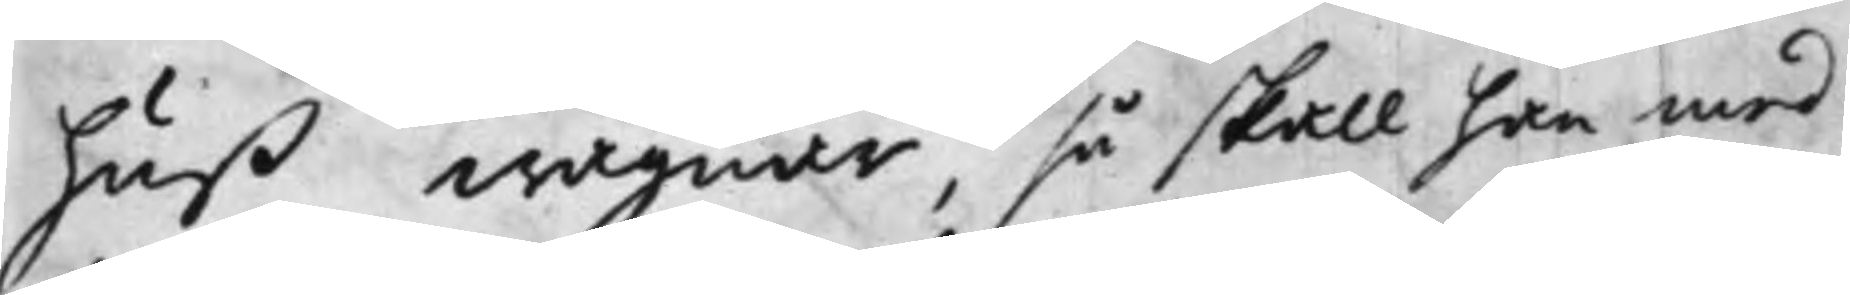huß wägnar, så skall han med
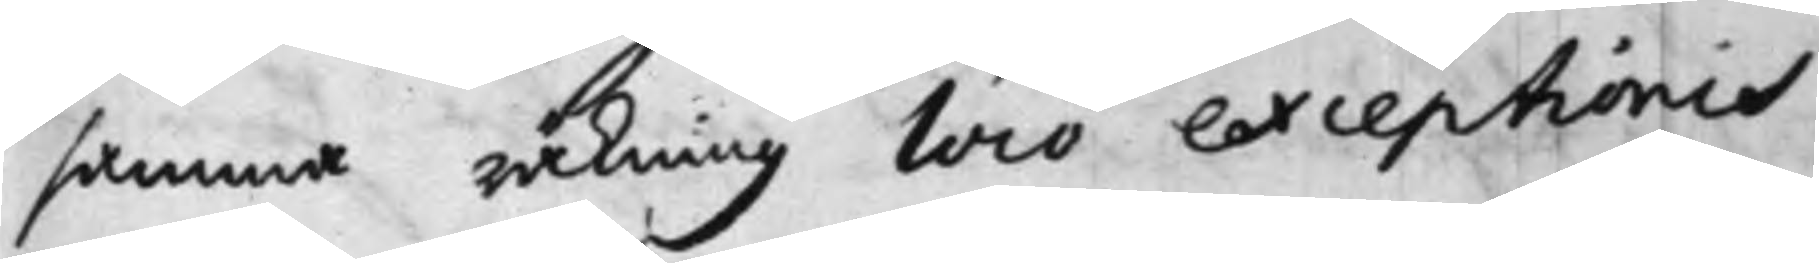samma räkning loco exceptionis
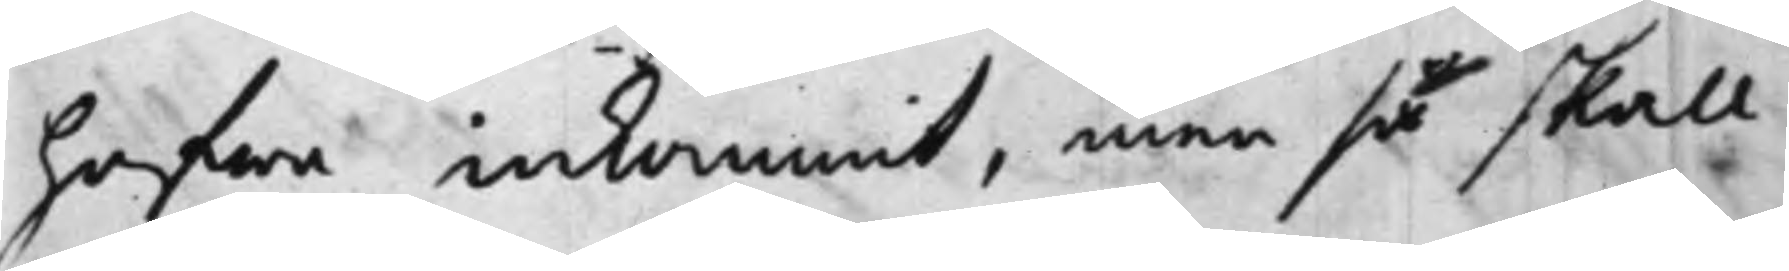hafwa inkommit, men så skall
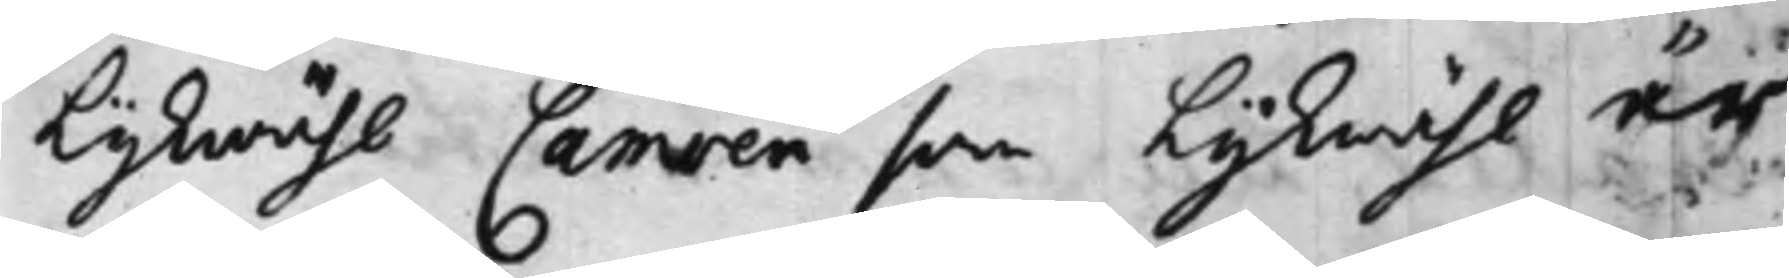lijkwähl Camoen som Lijkwähl är
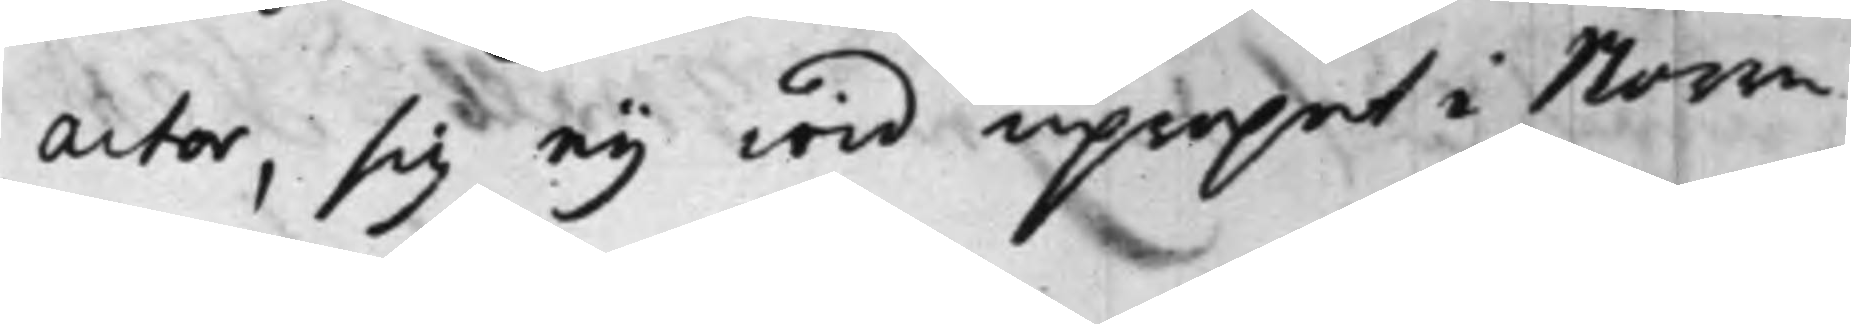actor, sig ey wid upropet i Norra
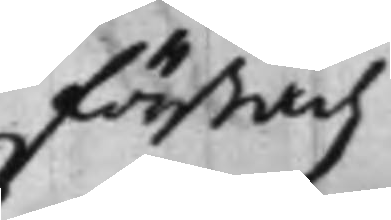förstadz
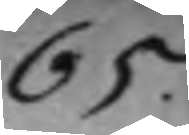65.
